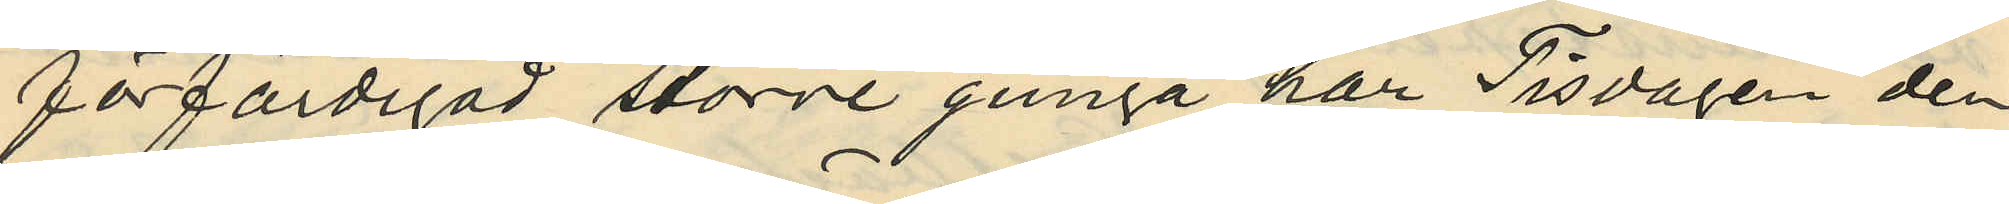förfärdigad större gunga, har Tisdagen den
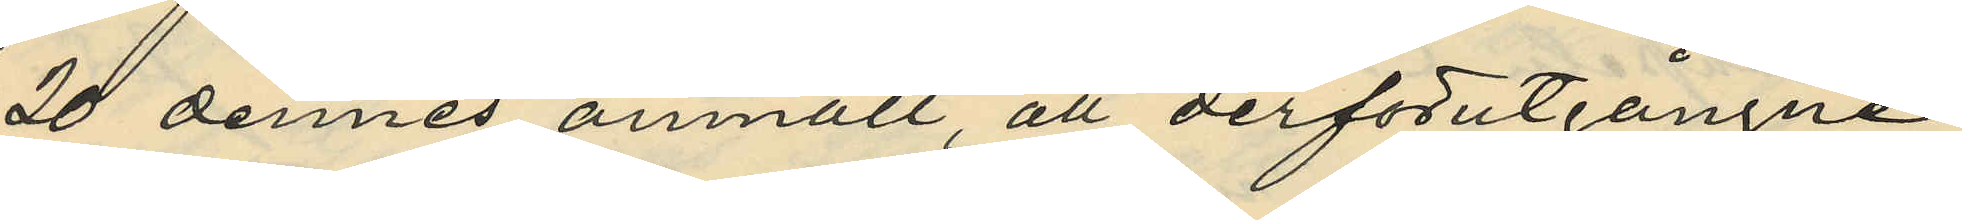20 dennes anmält att derförutgångne
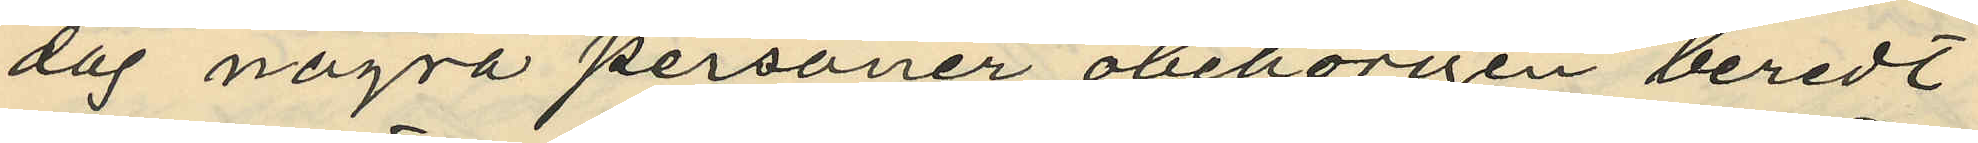dag några personer obehörigen beredt
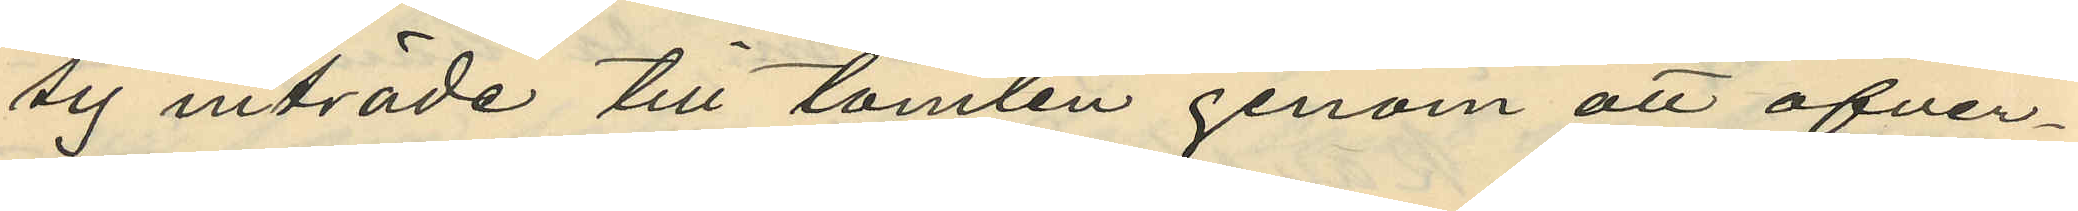sig inträde till tomten genom att öfver¬
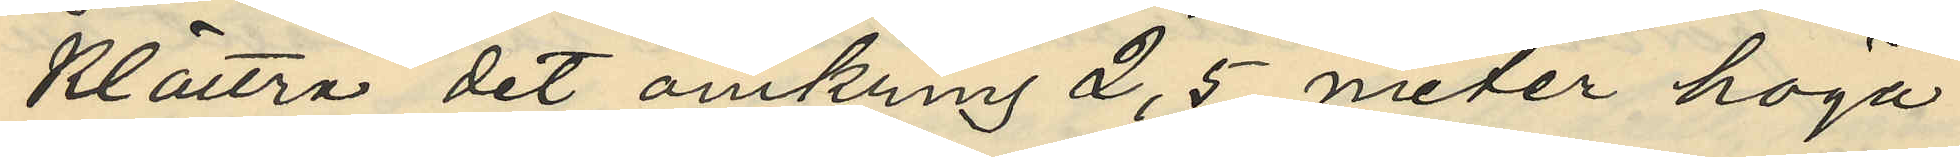klättra det omkring 2,5 meter höga
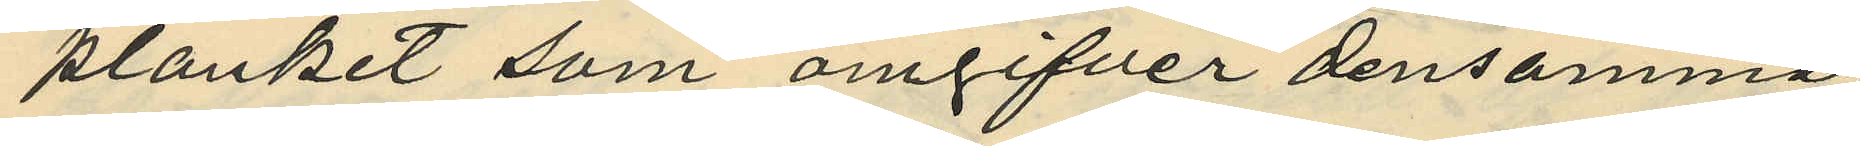planket som omgifver densamma
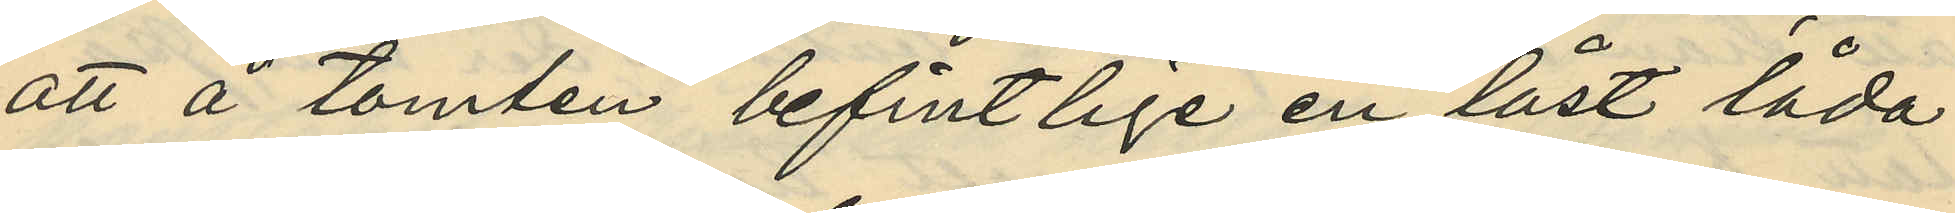att å tomten befintlige en låst låda
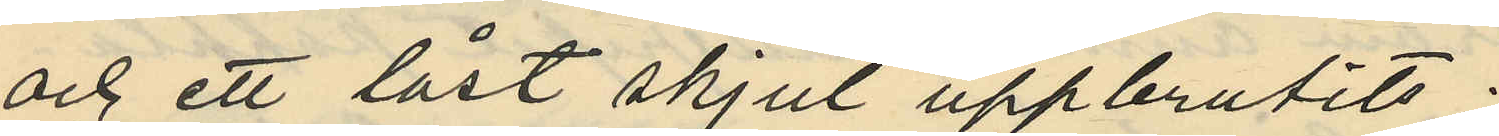och ett låst skjul uppbrutits;
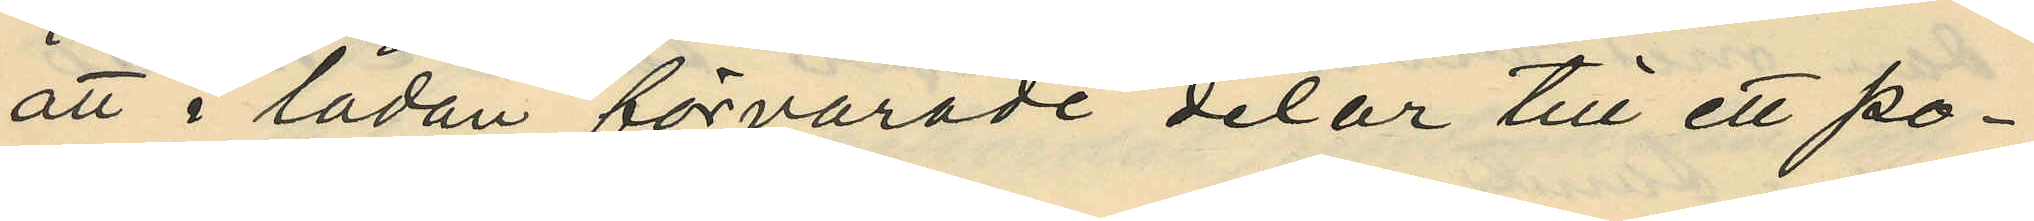att i lådan förvarade delar till ett po¬
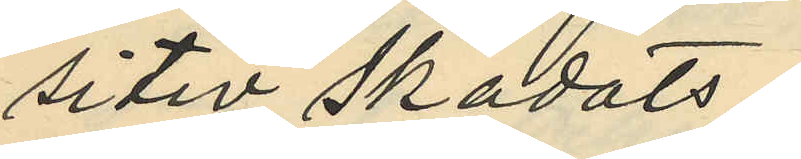sitiv skadats;
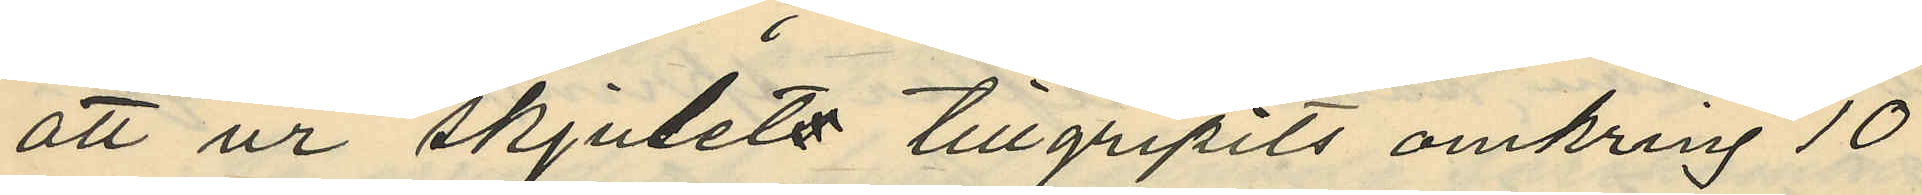att ur skjulets tillgripits omkring 10
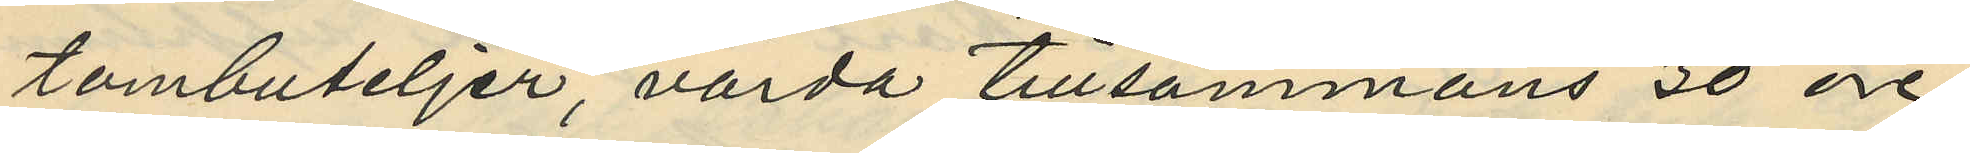tombuteljer, värda tillsammans 30 öre
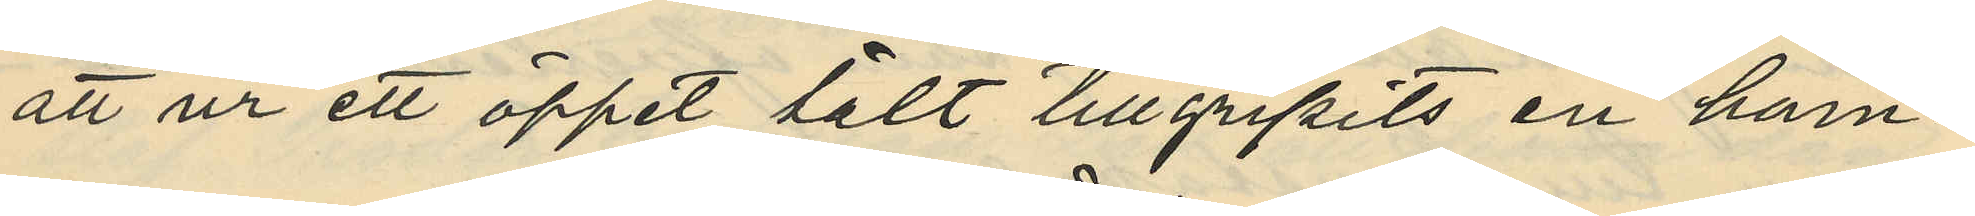att ur ett öppet tält tillgripits en ham¬
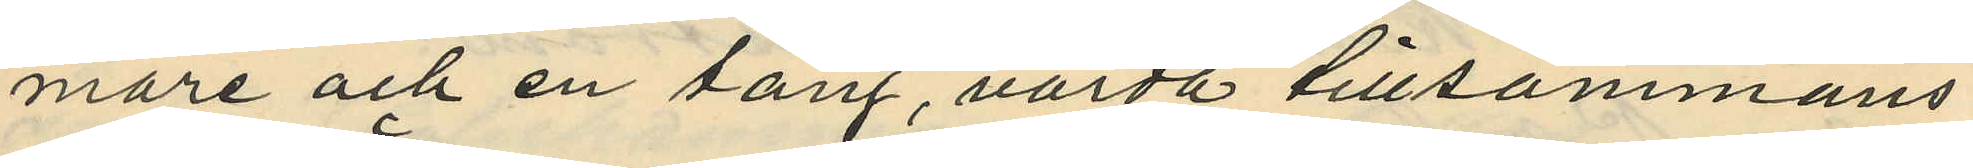mare och en säng, värda tillsammans
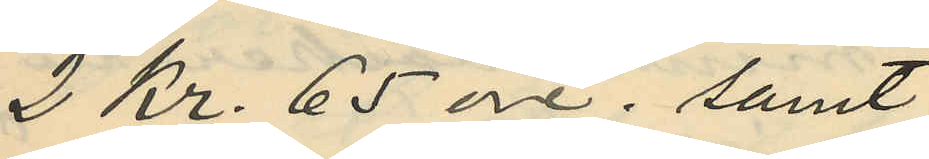2 Kr. 65 öre; samt
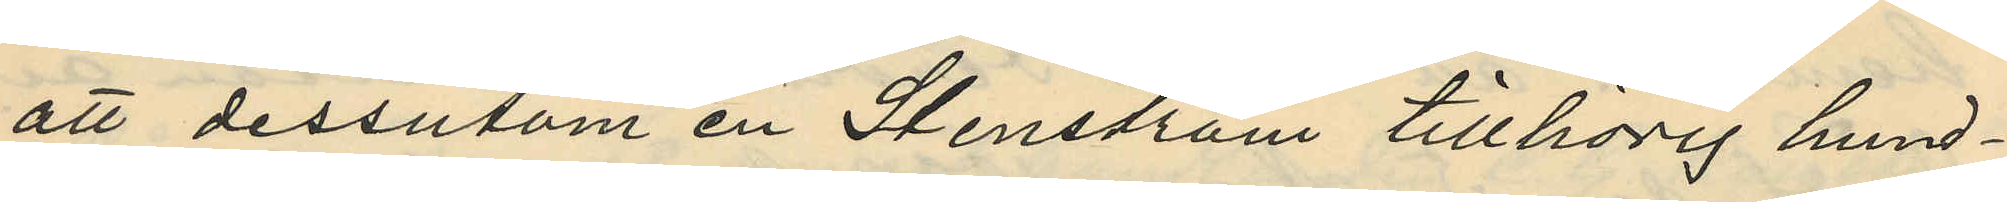att dessutom en Stenström tillhörig hund¬
